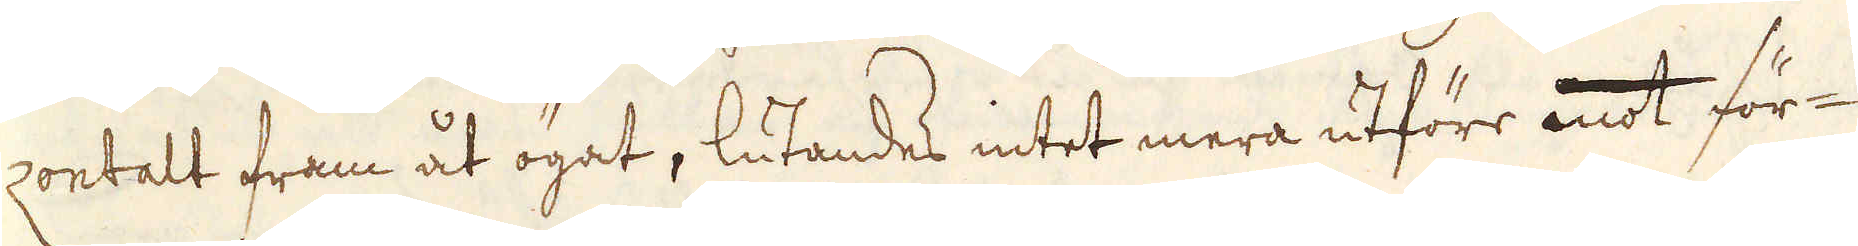zontalt fram åt ögat, lutandes intet mera utföre mot för-
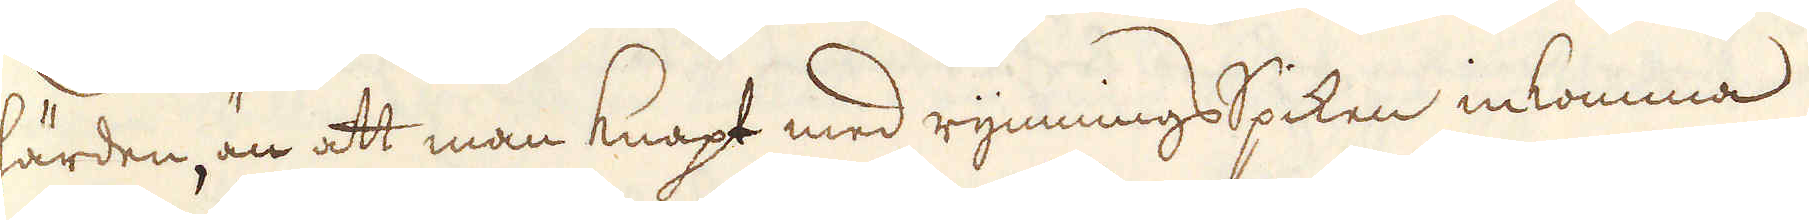härden, än att man knapt med rymnings Spiken inkomma
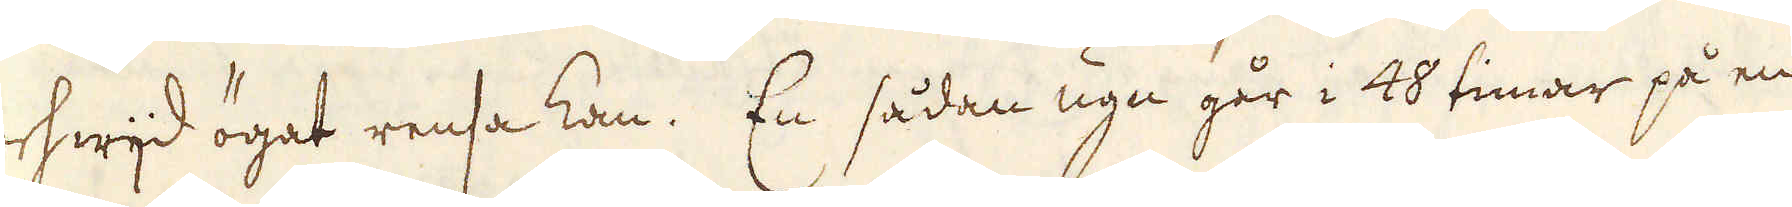och hwijd ögat rensa kan. En sådan ugn går i 48 timar på en
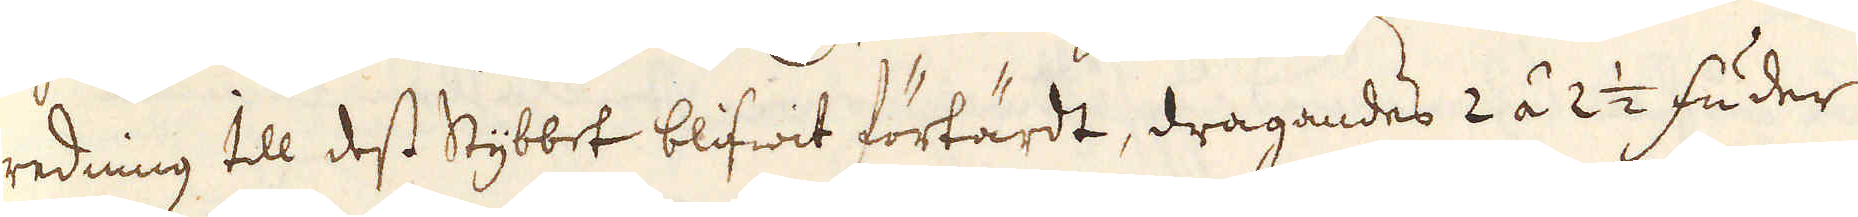redning till dess Stybbet blifwit förtärdt, dragandes 2 á 2 1/2 fuder
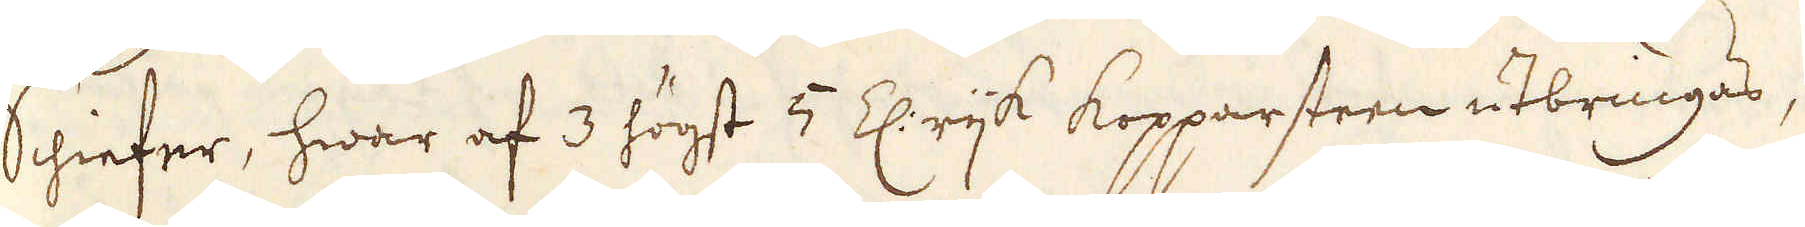Schiefer, hwar af 3 högst 5 Z: rijk Kopparsteen utbringas,
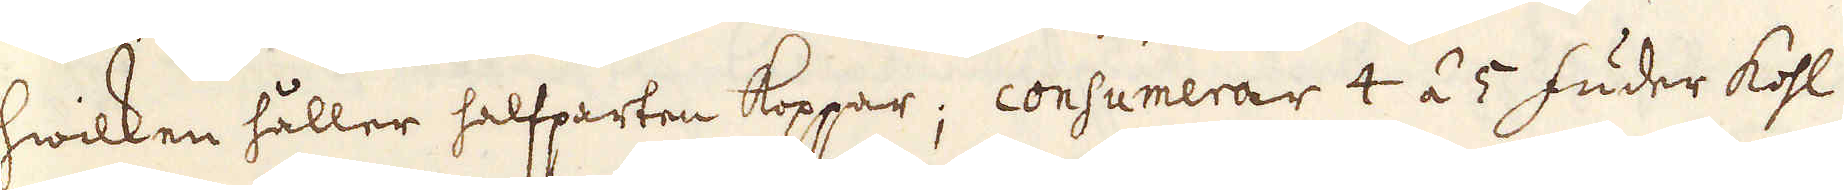hwilken håller halfparten koppar; consumerar 4 á 5 fuder kohl
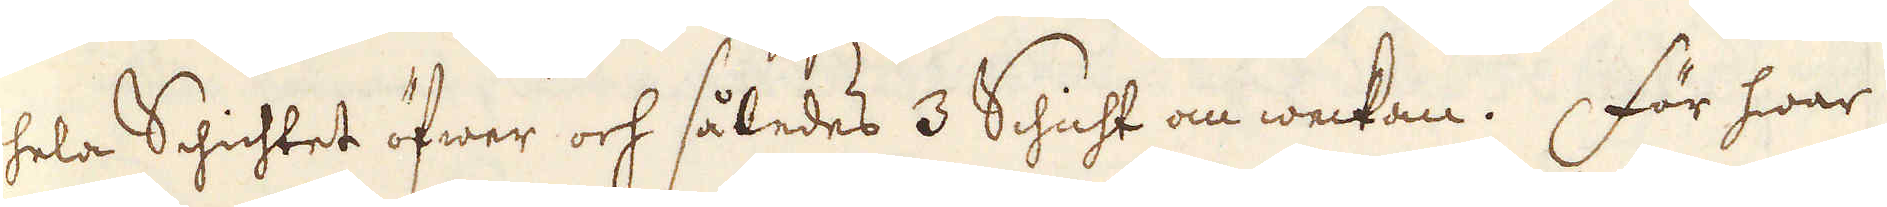hela Schichtet öfwer och således 3 Schicht om weckan. För hwar
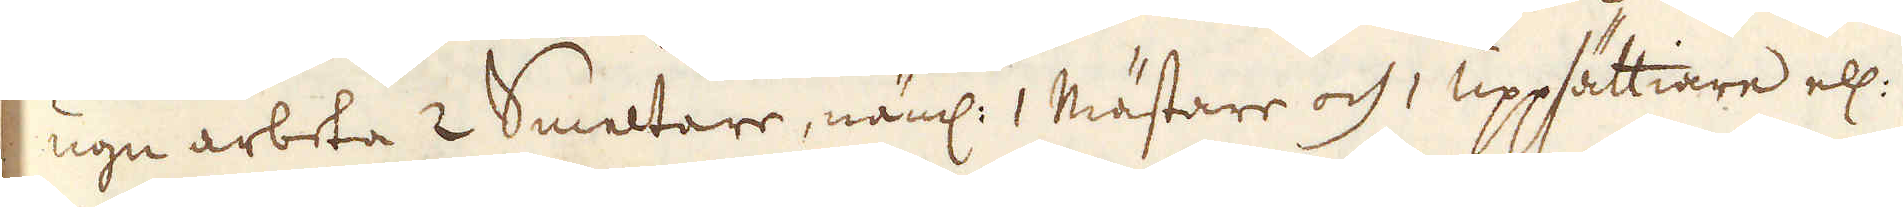ugn arbeta 2 Smeltare, näml: 1 Mästare och 1 uppsättiare ell:
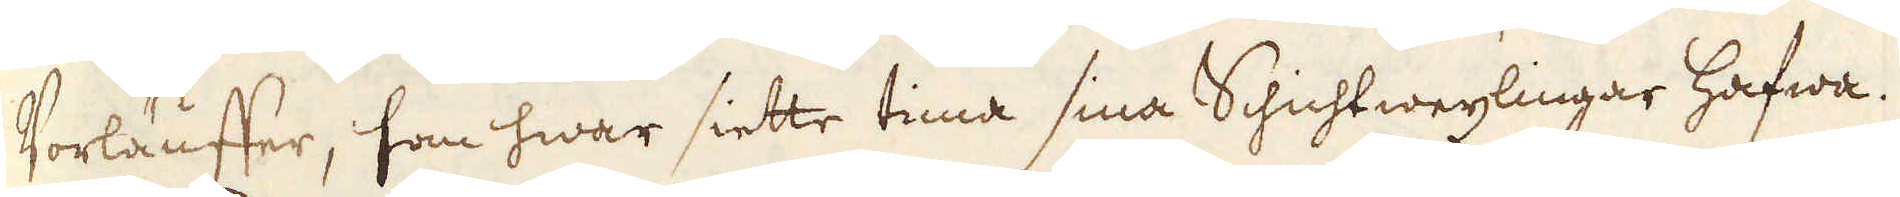Vorläuffer, som hwar siette tima sina Schichtwexlingar hafwa.
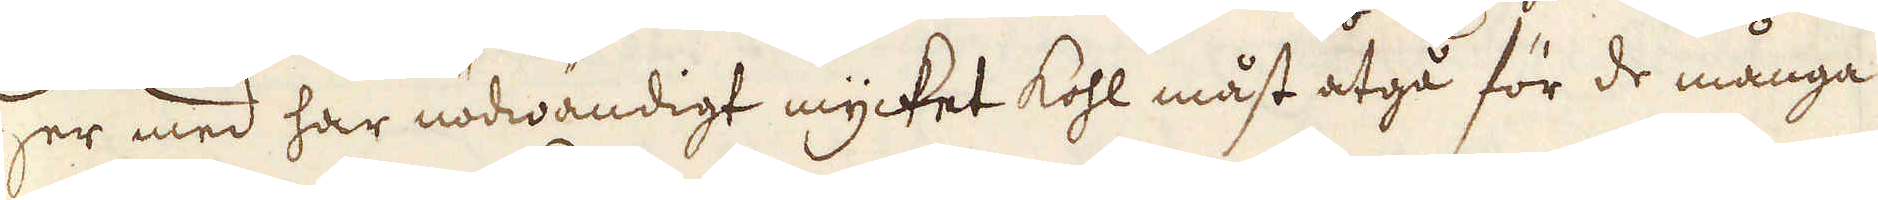Her med har nödwändigt mycket kohl måst åtgå för de många
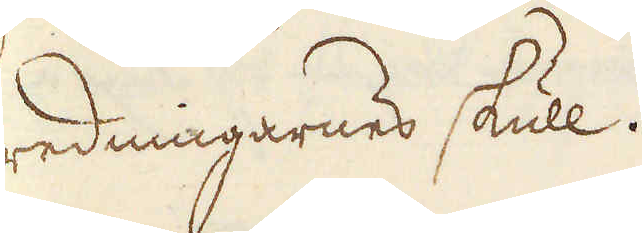redningarnes skull.
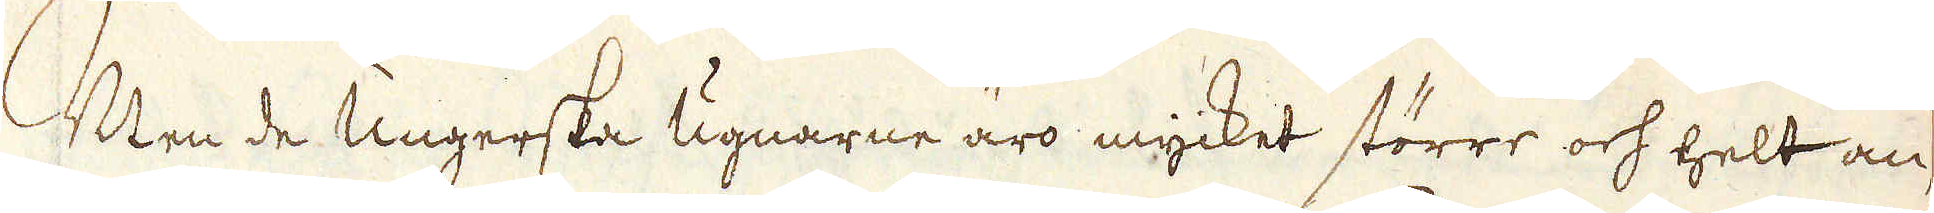Men de Ungerska ugnarne äro mycket större och helt an-
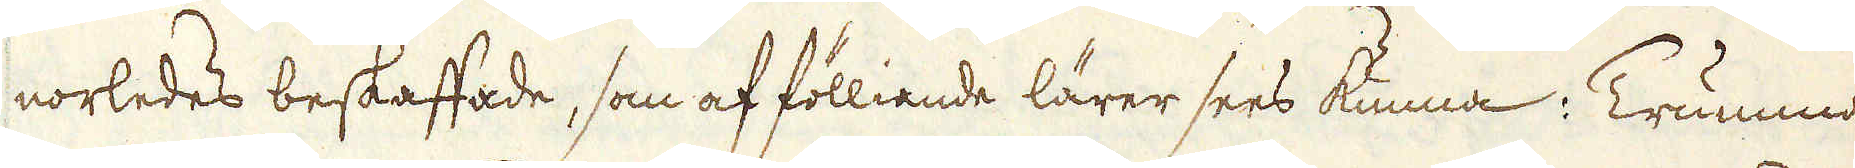norledes beskaffade, som af fölliande lärer sees kunna: Trumman
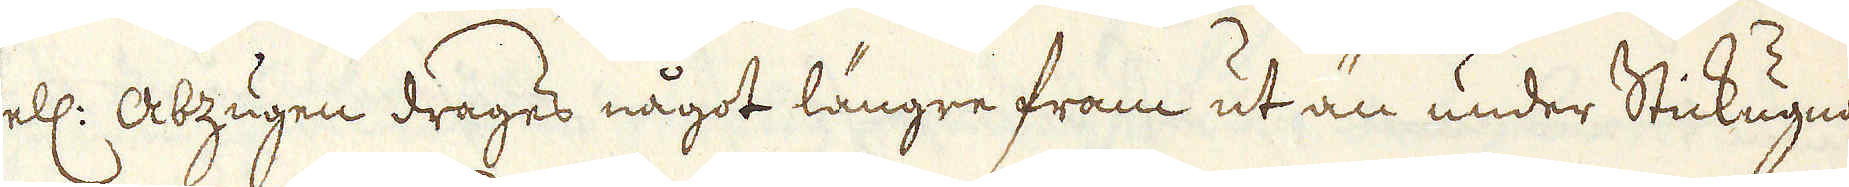ell: Abzugen drages något längre fram ut än under Stickugnar-
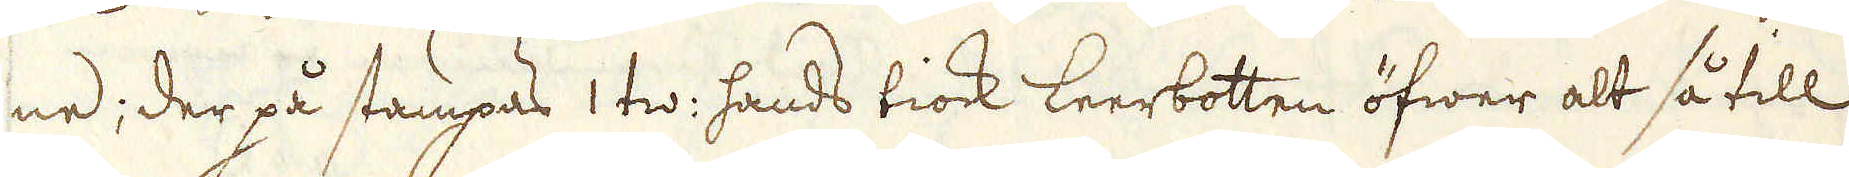ne; der på stampas 1 tw: hands tiock leerbotten öfwer alt så till
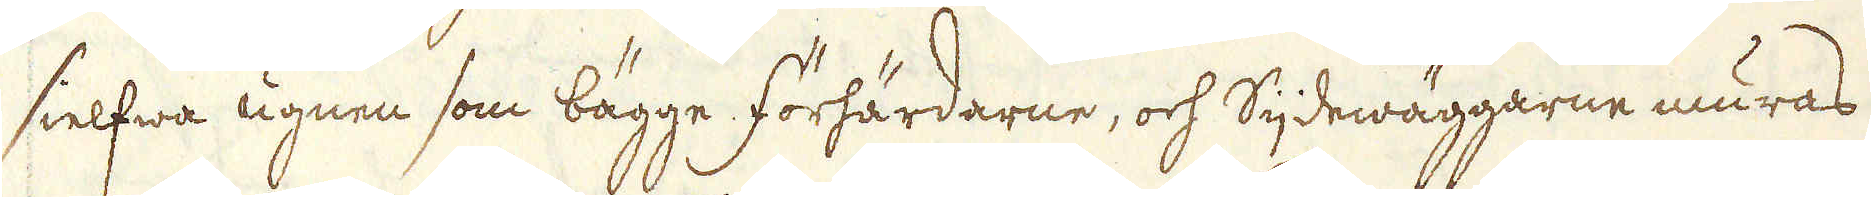sielfwa ugnen som bägge förhärdarne, och Sijdewäggarne muras
